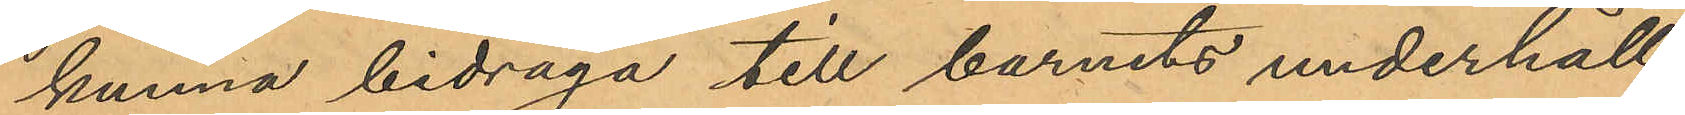kunna bidraga till barnets underhåll;
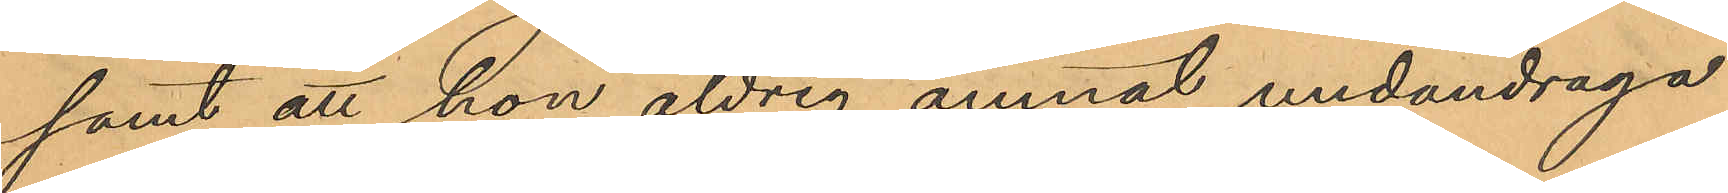samt att hon aldrig ämnat undandraga
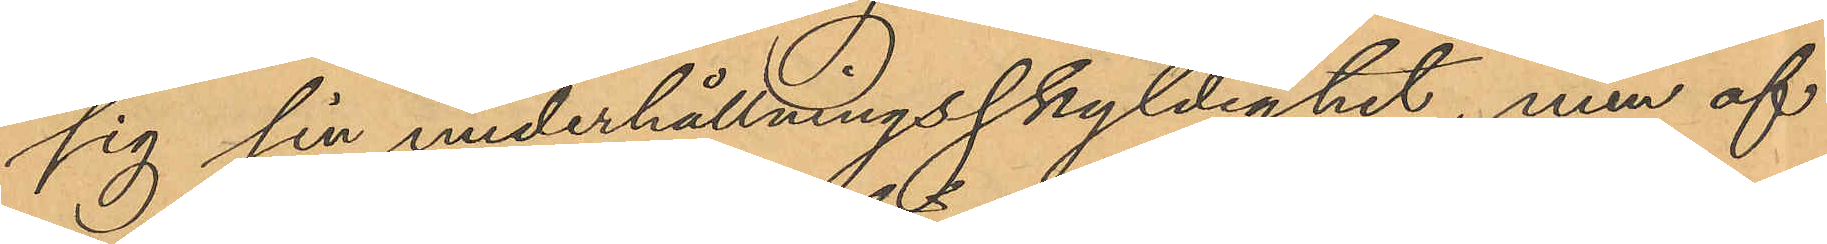sig sin underhållningsskyldighet, men af
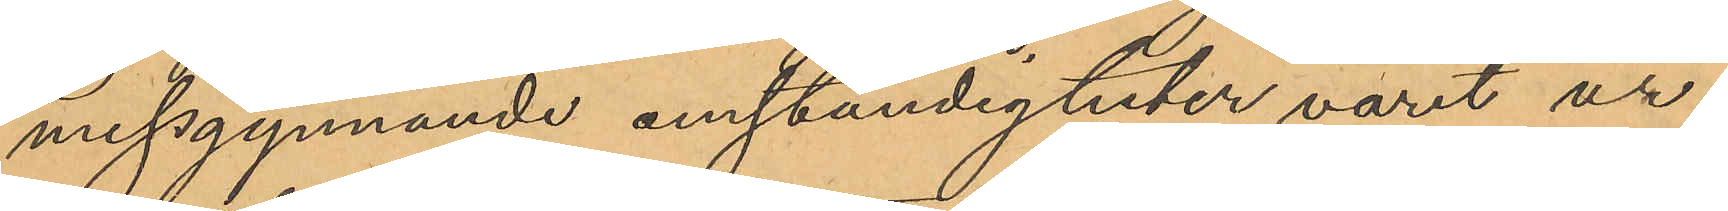missgynnande omständigheter varit ur
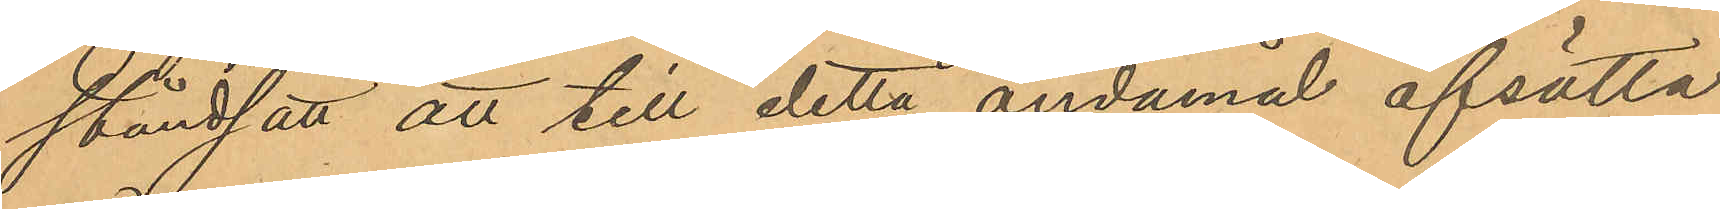stånd att att till detta ändamål afsätta
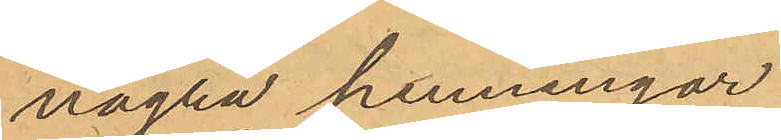några penningar.
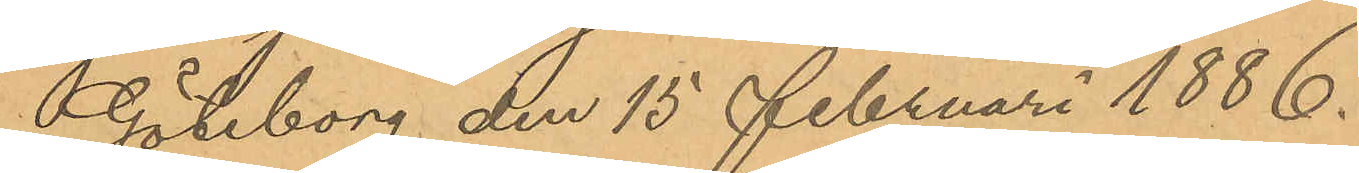Göteborg den 15 Februari 1886.
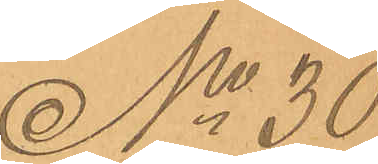No 30
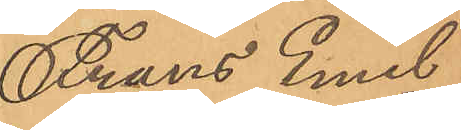Frans Emil
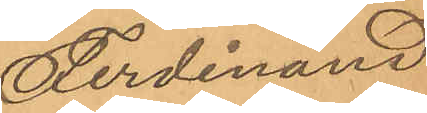Ferdinand
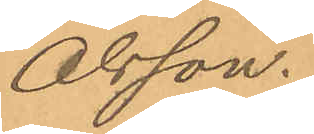Olsson.
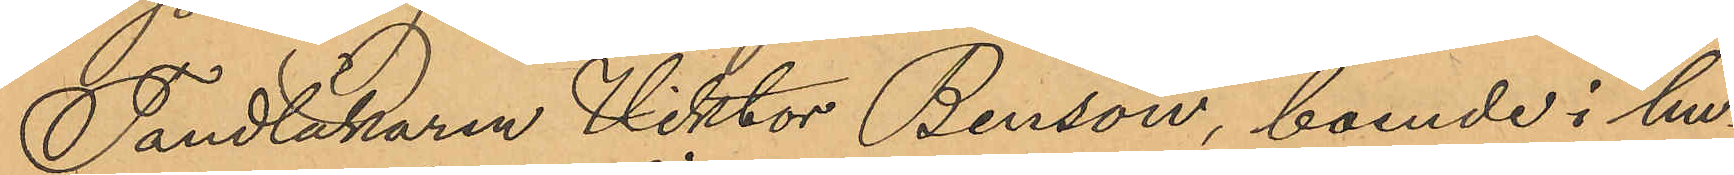Tandläkaren Viktor Bensow, boende i hu¬
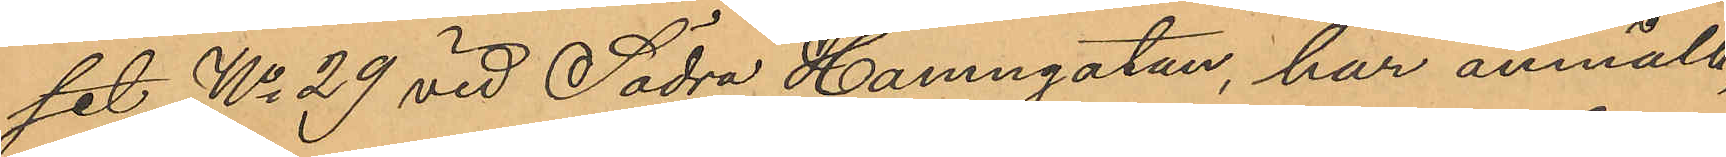set No 29 vid Södra Hamngatan, har anmält,
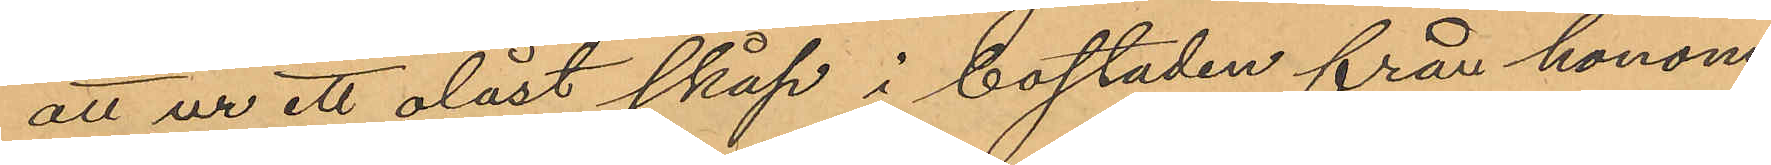att ur ett olåst skåp i bostaden från honom
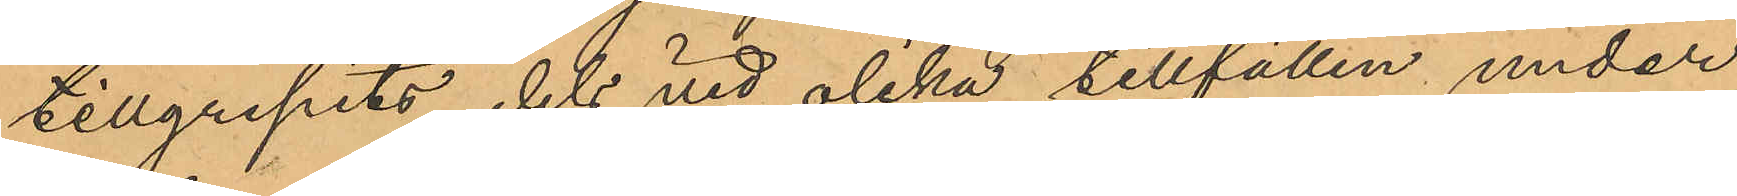tillgripits, dels vid olika tillfällen under
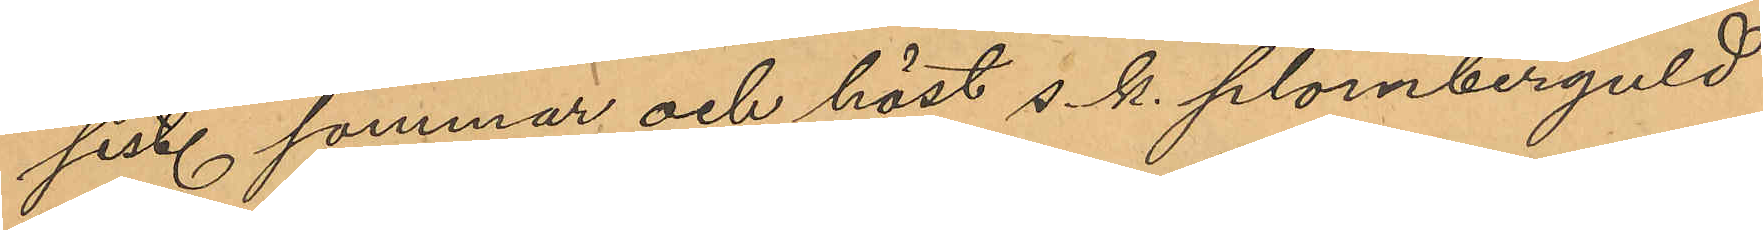sist. sommar och höst s. k. plomberguld
